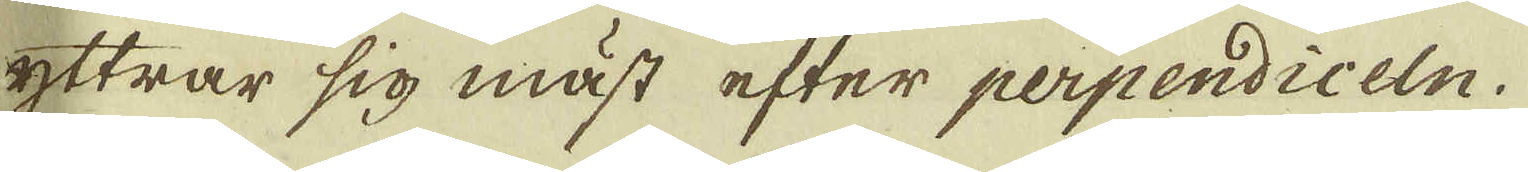yttrar sig mäst efter perpendiceln.
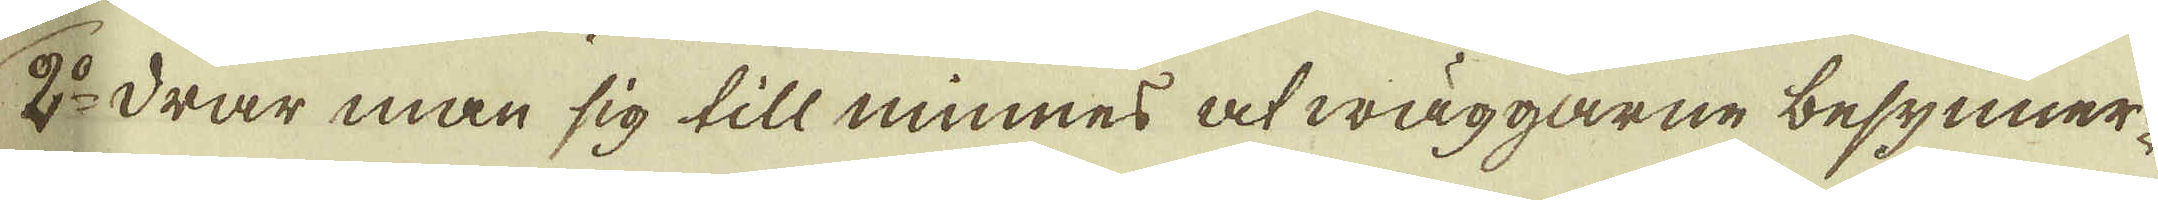2:o Drar man sig till minnes at wäggarne besynner-
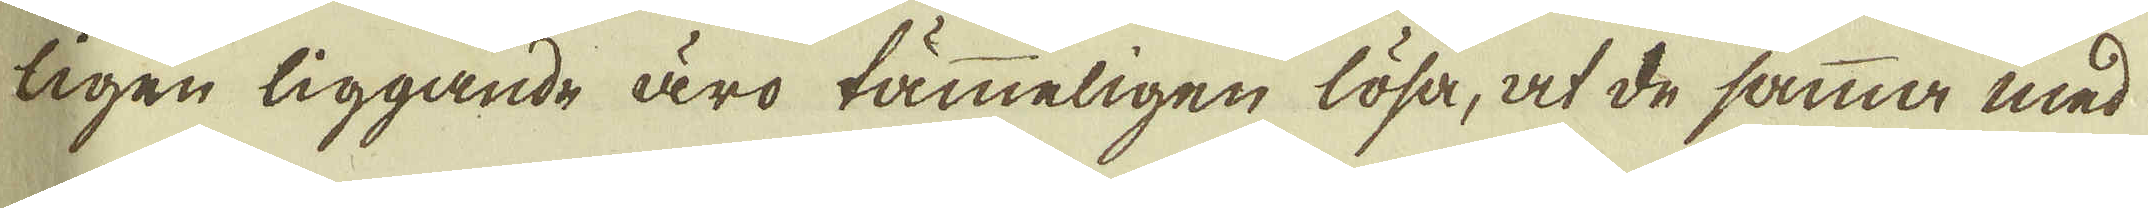ligen liggande äro tämmeligen lösa, at de samma med
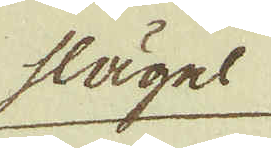slägel
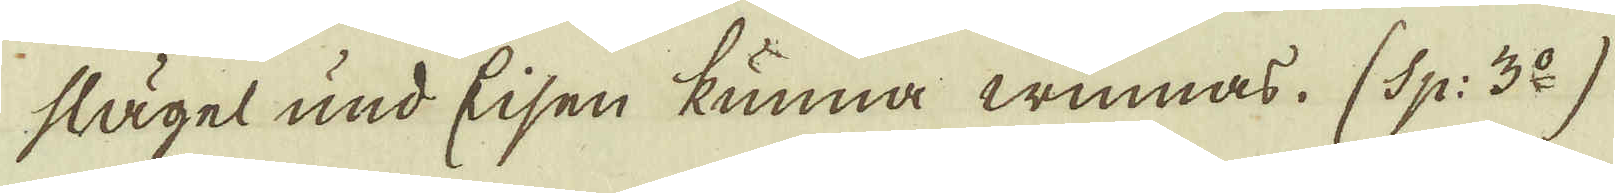slägel und Eisen kunna winnas. (Sp: 3:o).
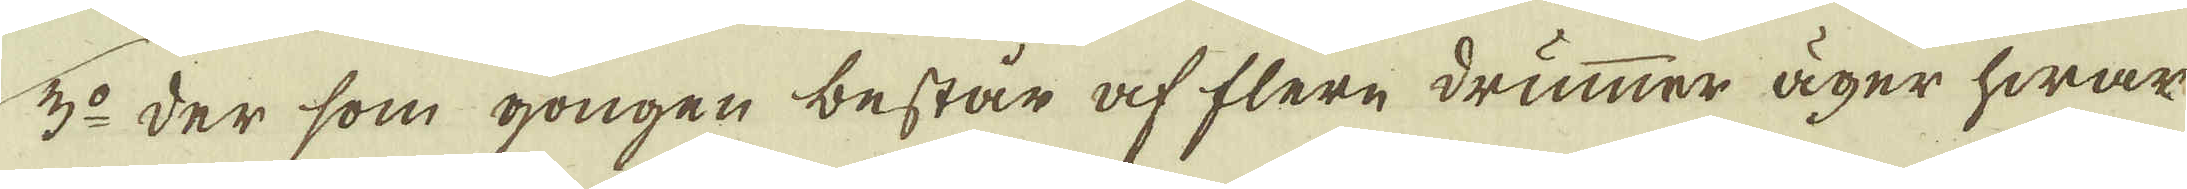3:o der som gongen består af flere drummer äger hwar
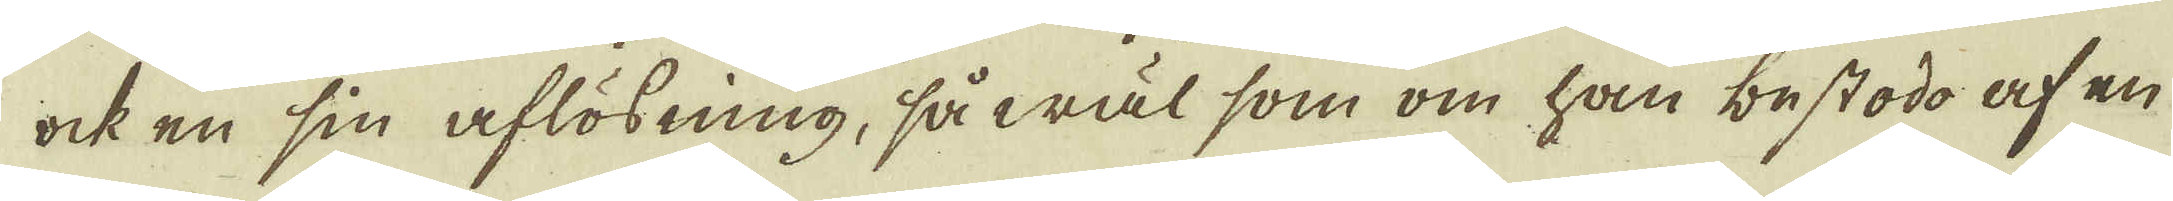ock en sin aflösning, såwäl som om han bestodo af en
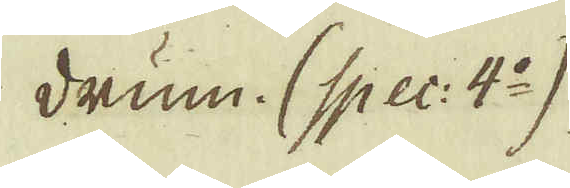drum. (Spec: 4:o)
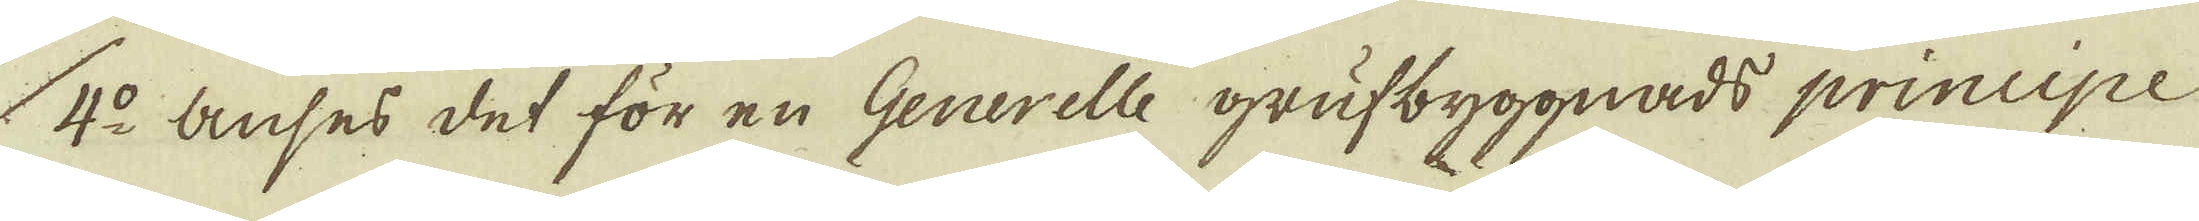4:o anses det för en Generelle grufbyggnads principe
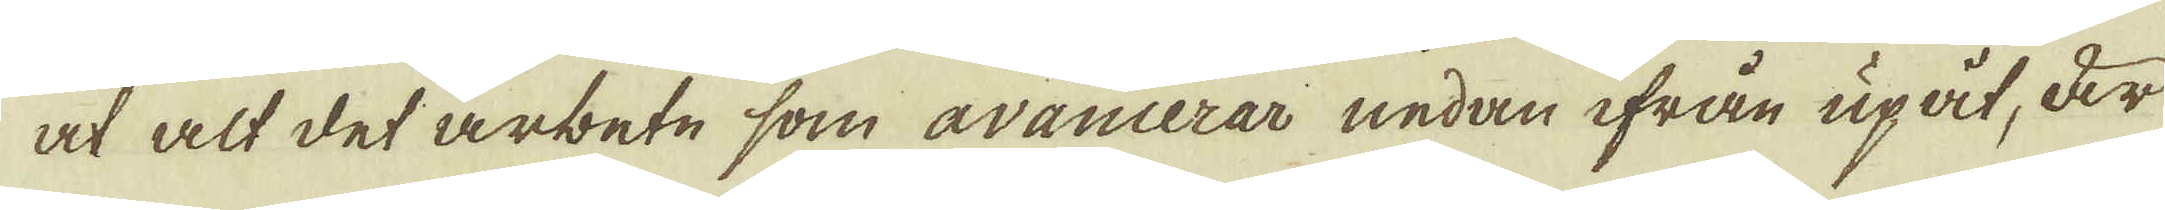at alt det arbete som avancerar nedan ifrån upåt, är
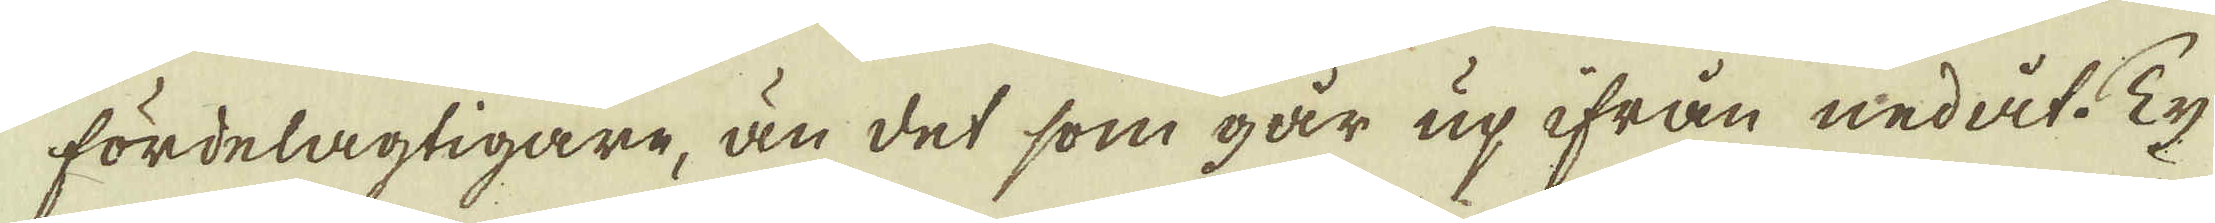fördelagtigare, än det som går up ifrån nedåt. Ty
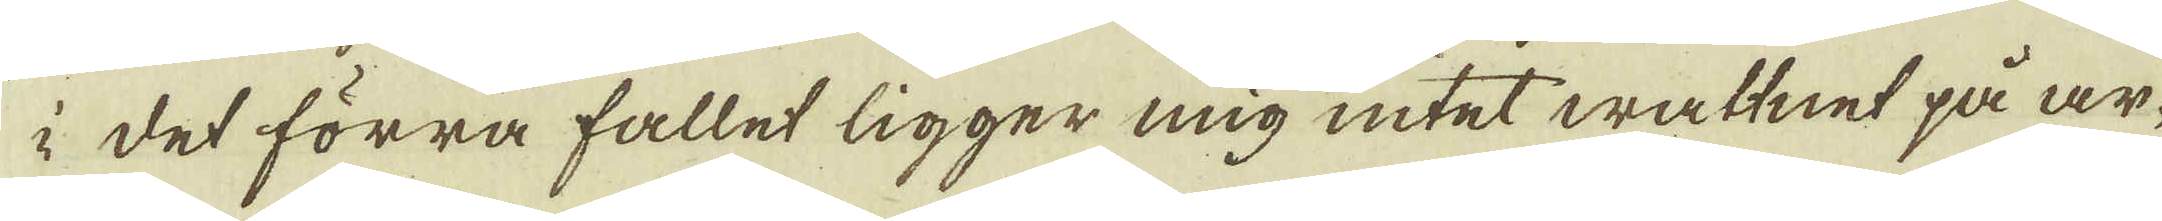i det förra fallet ligger mig intet wattnet på ar-
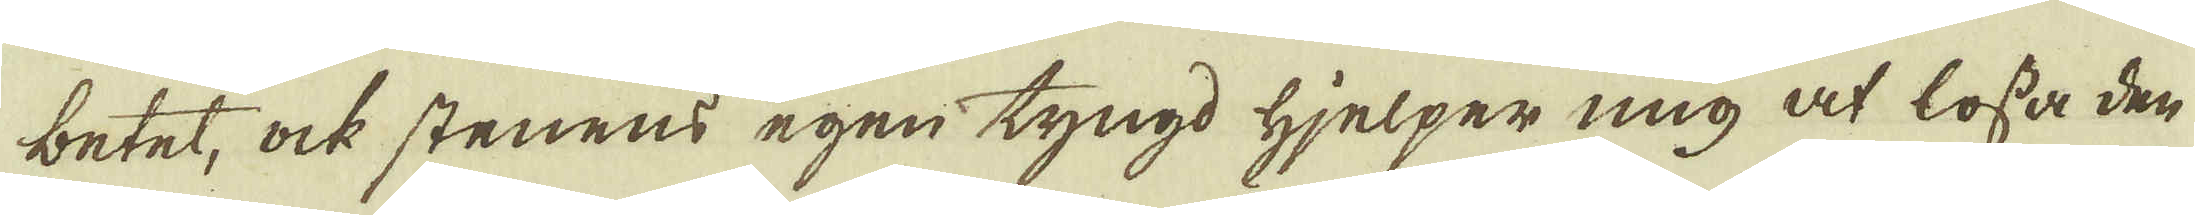betet, ock stenens egen tyngd hjelper mig at lossa den
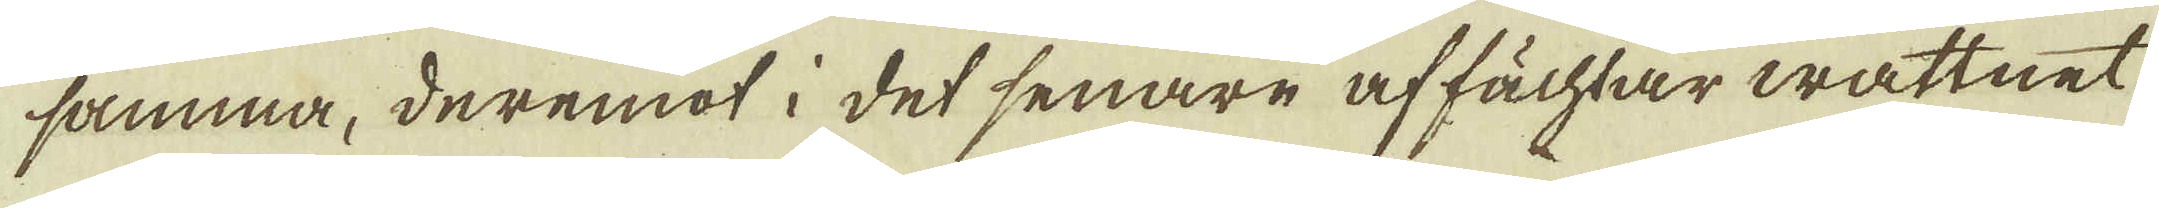samma, deremot i det senare af fächtar wattnet
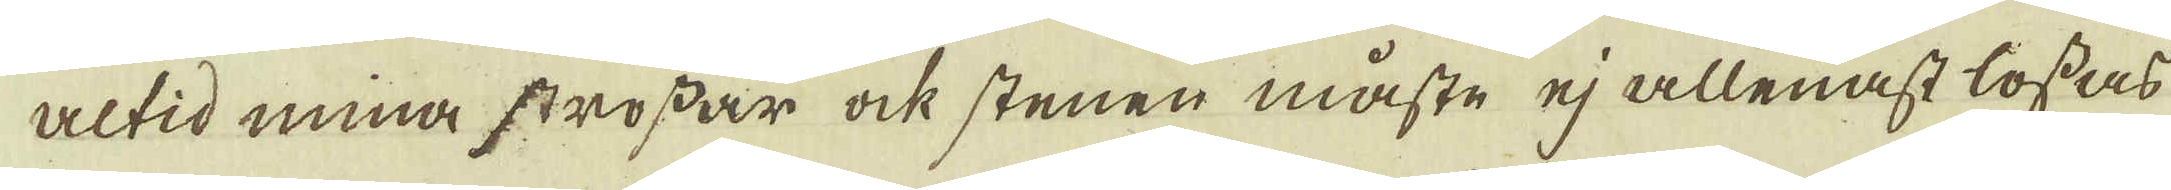altid mina strossar ock stenen måste ej allenast lossas
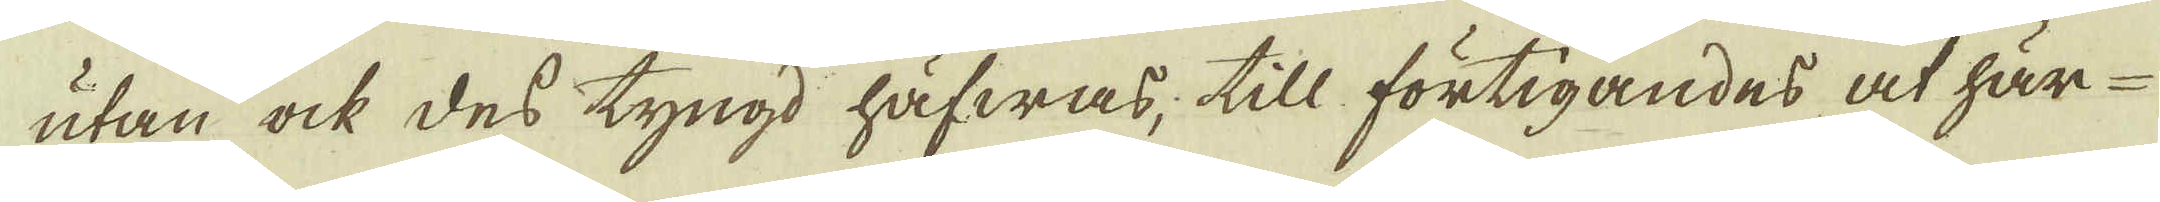utan ock des tyngd häfwas, till förtigandes at här-
